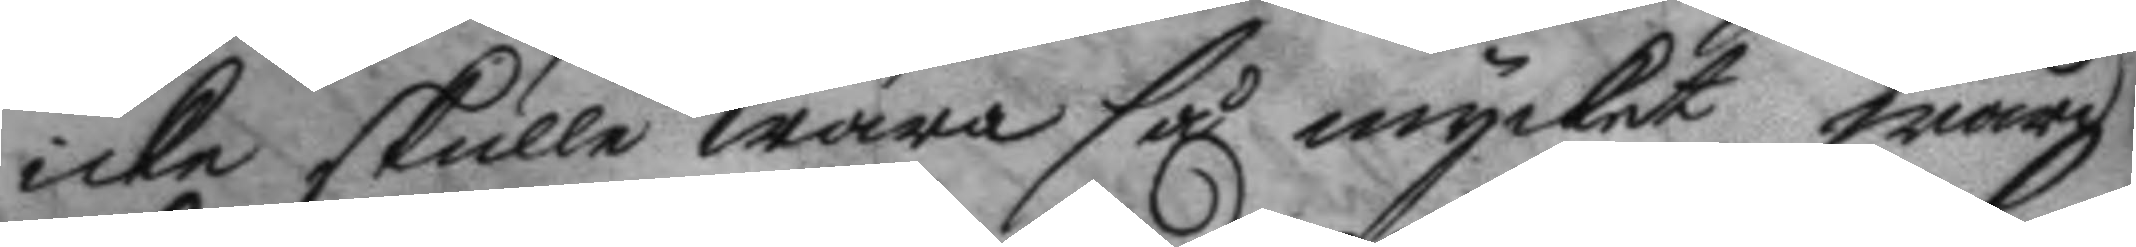icke skulle wara så mycket wärd
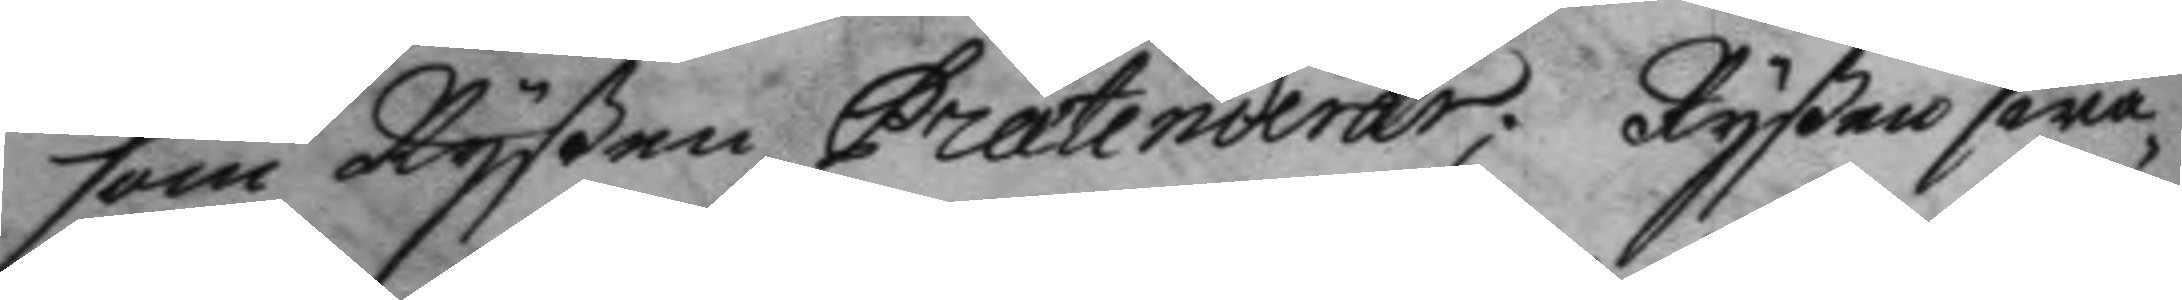som Ryßen Prætenderar; Ryßen swa¬
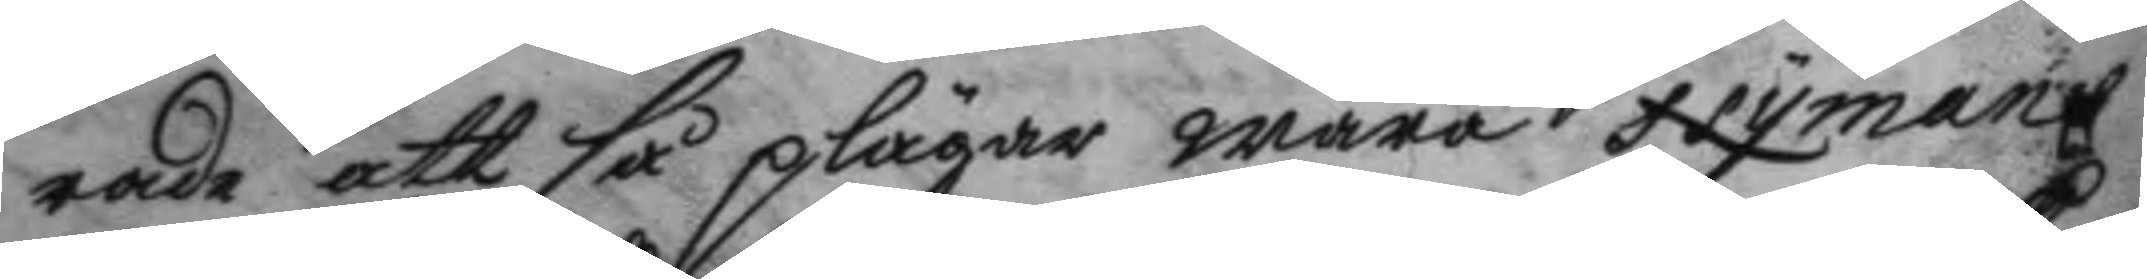rade att så plägar wara Nymans
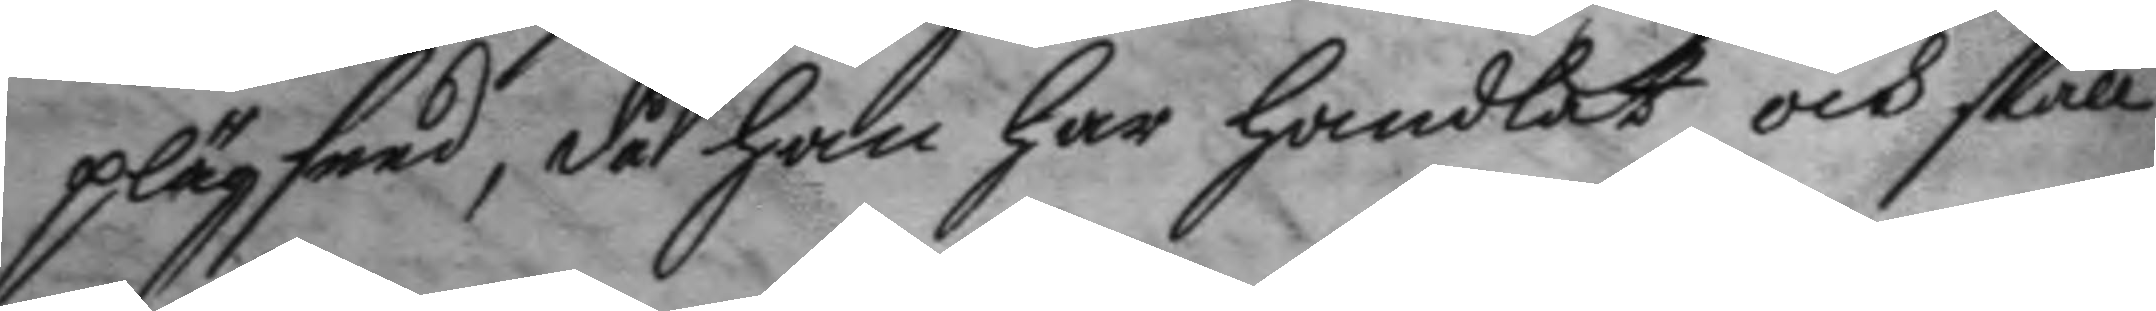plägseed, då han har handlat och skall
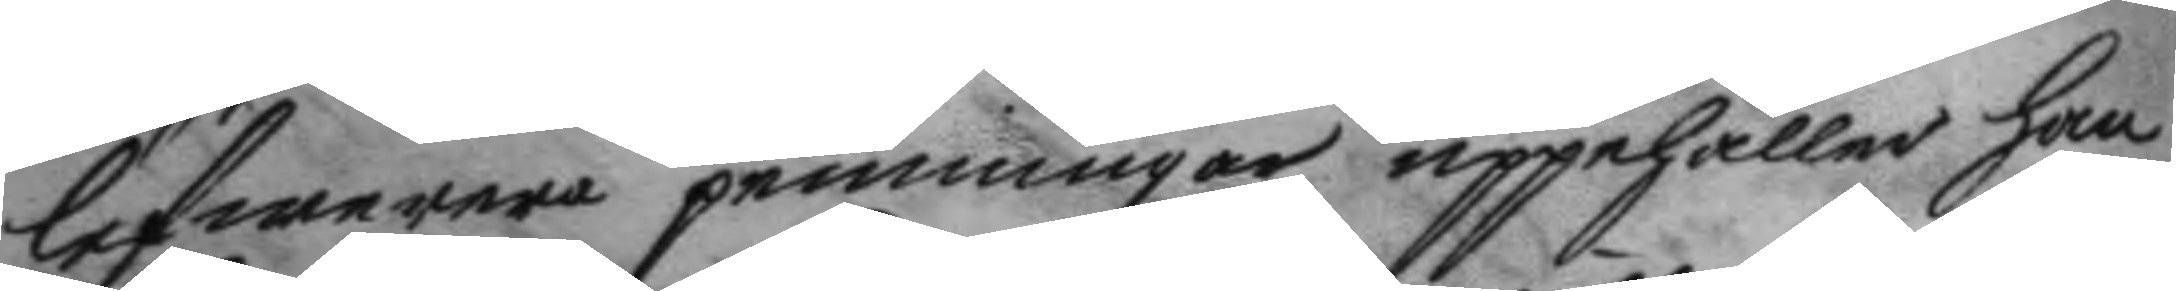lefwerera penningar upphåller han
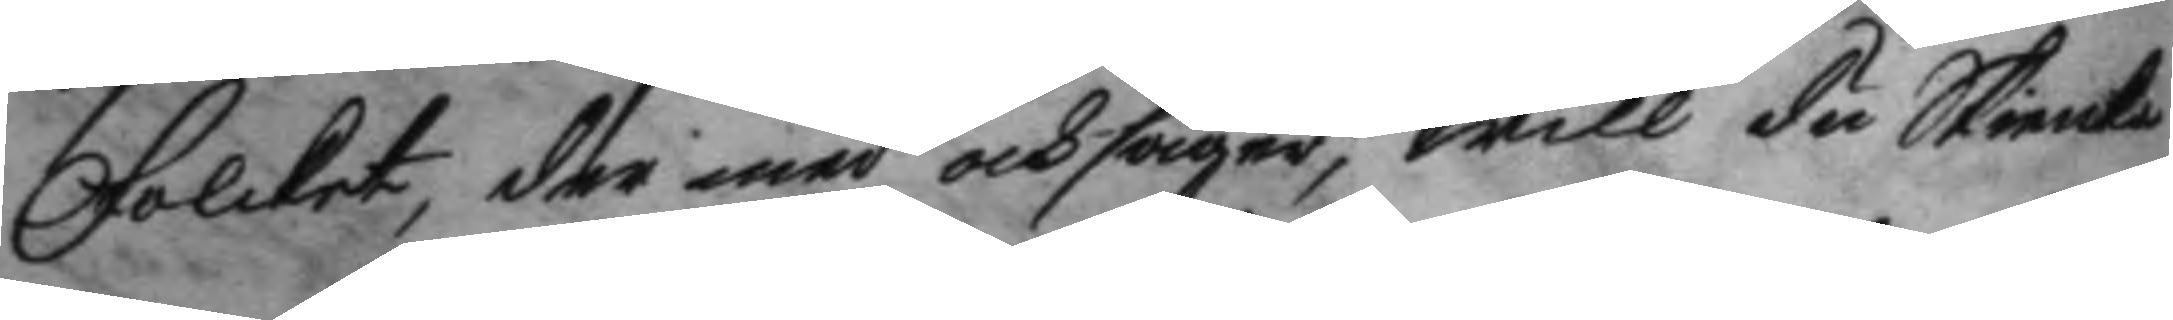Folcken, der med och säger, will du Skienka
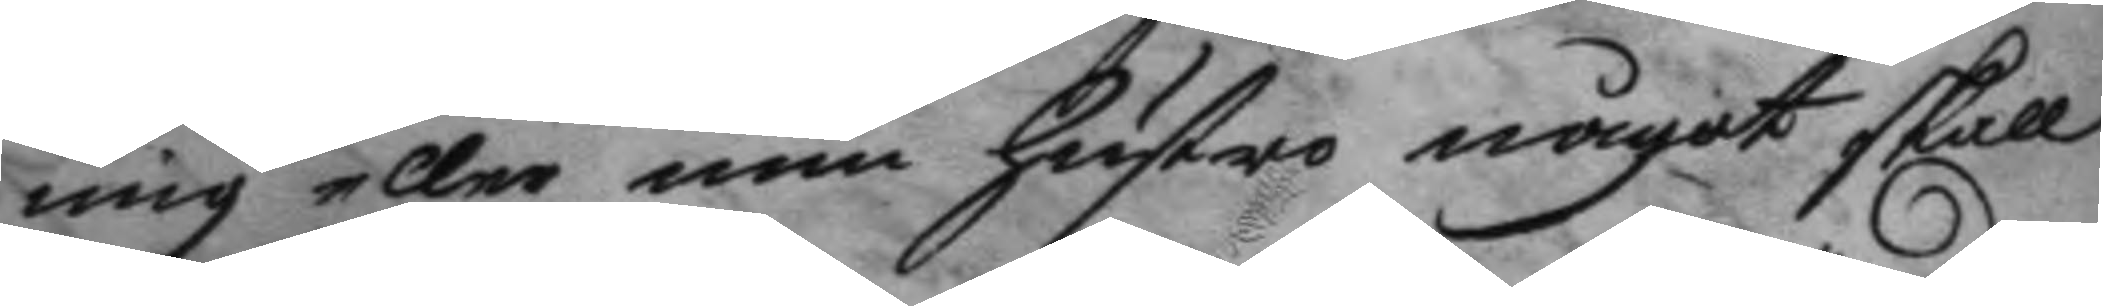mig eller min hustro något skall
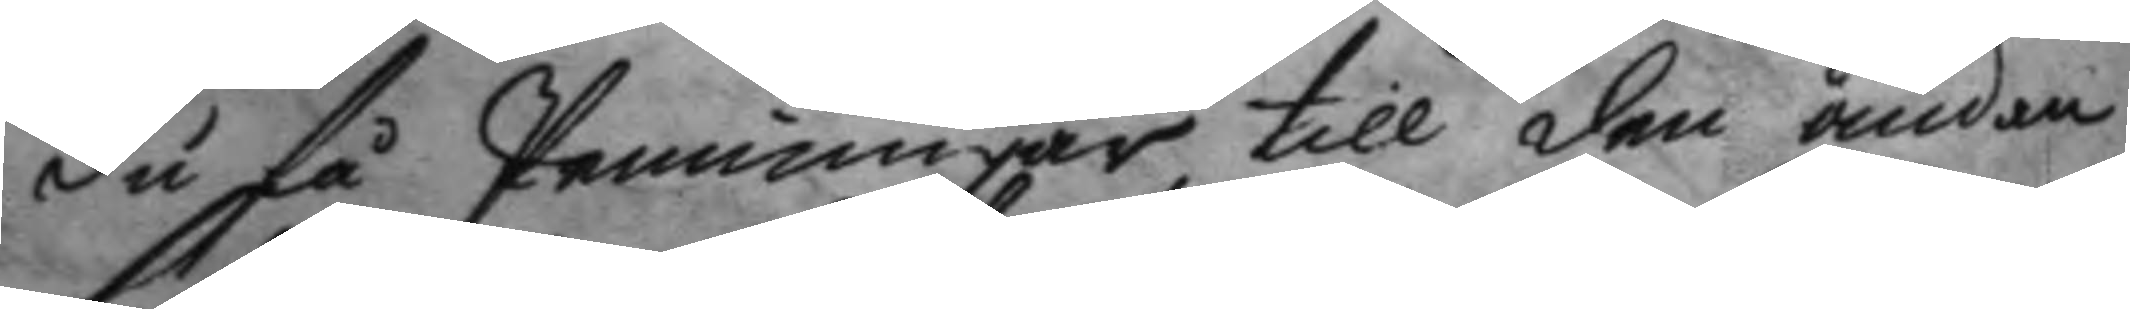du få Penningar till den ändan
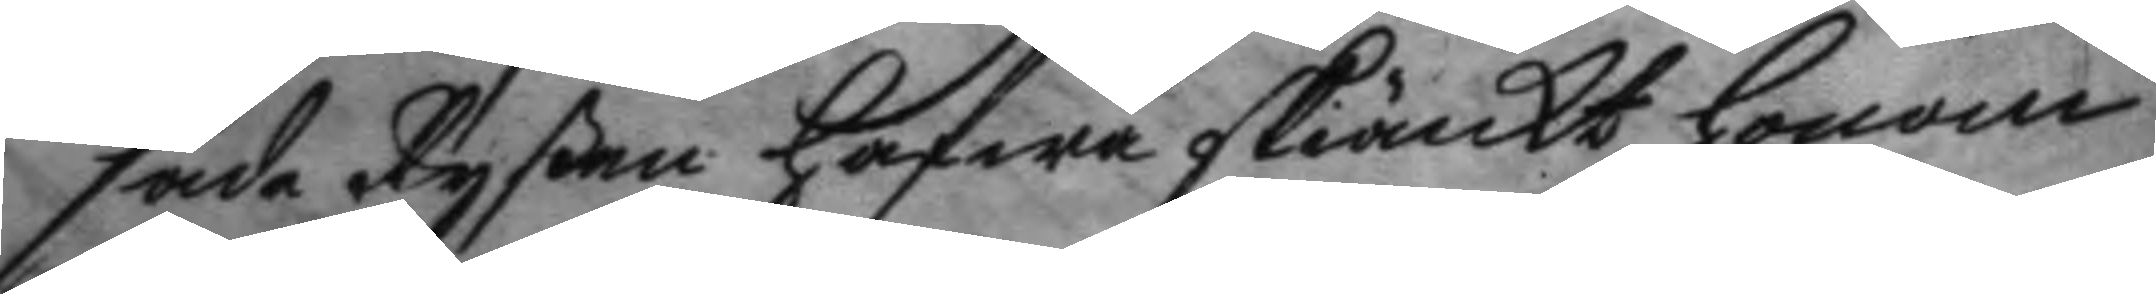sade Ryßen hafwa skiänkt honom
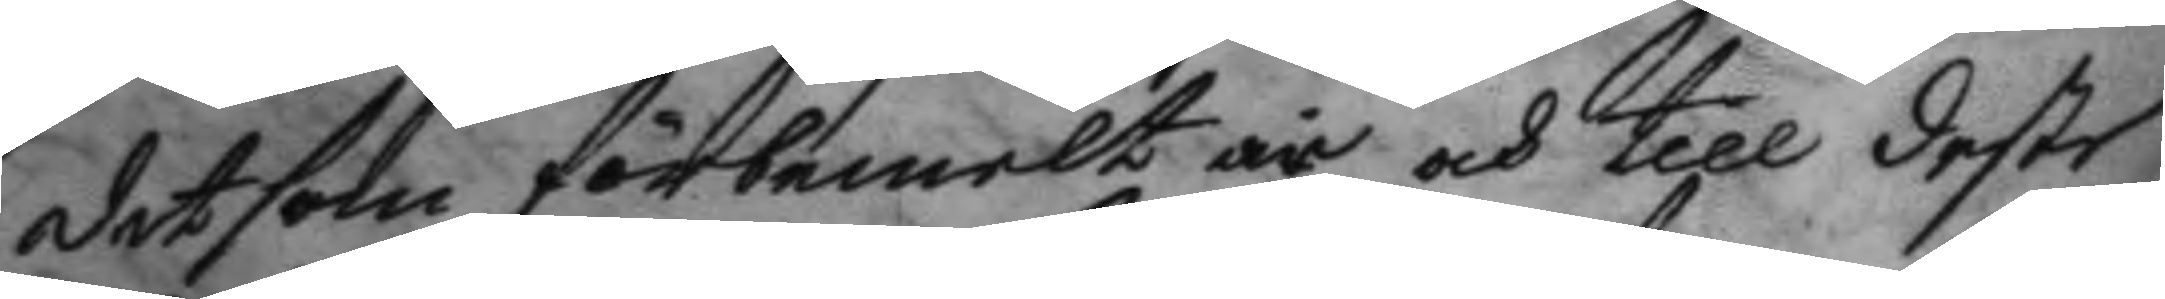det som förbemelt är och till deste
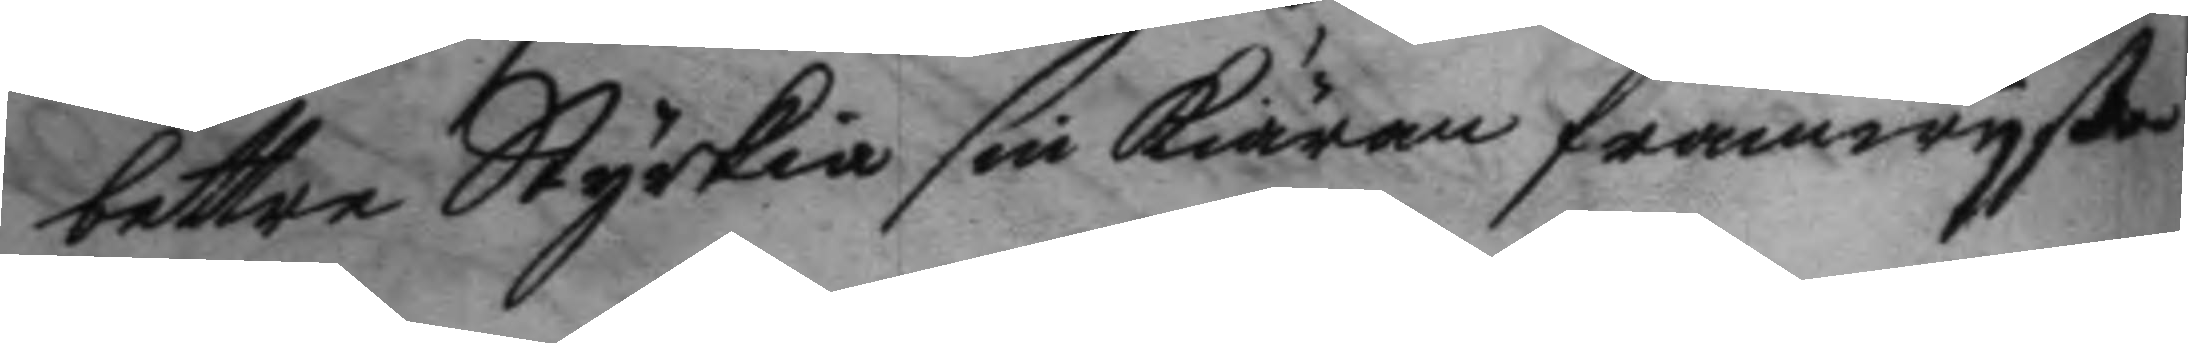bettre Styrkia sin kiäran framwyste
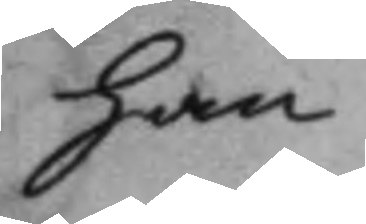han
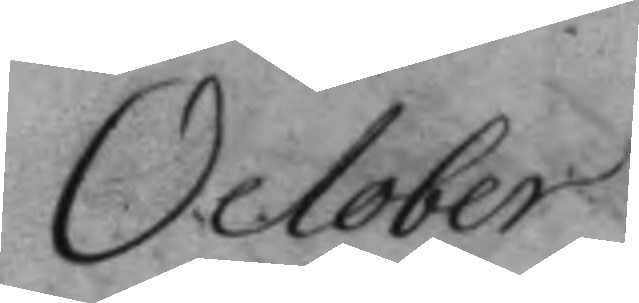October
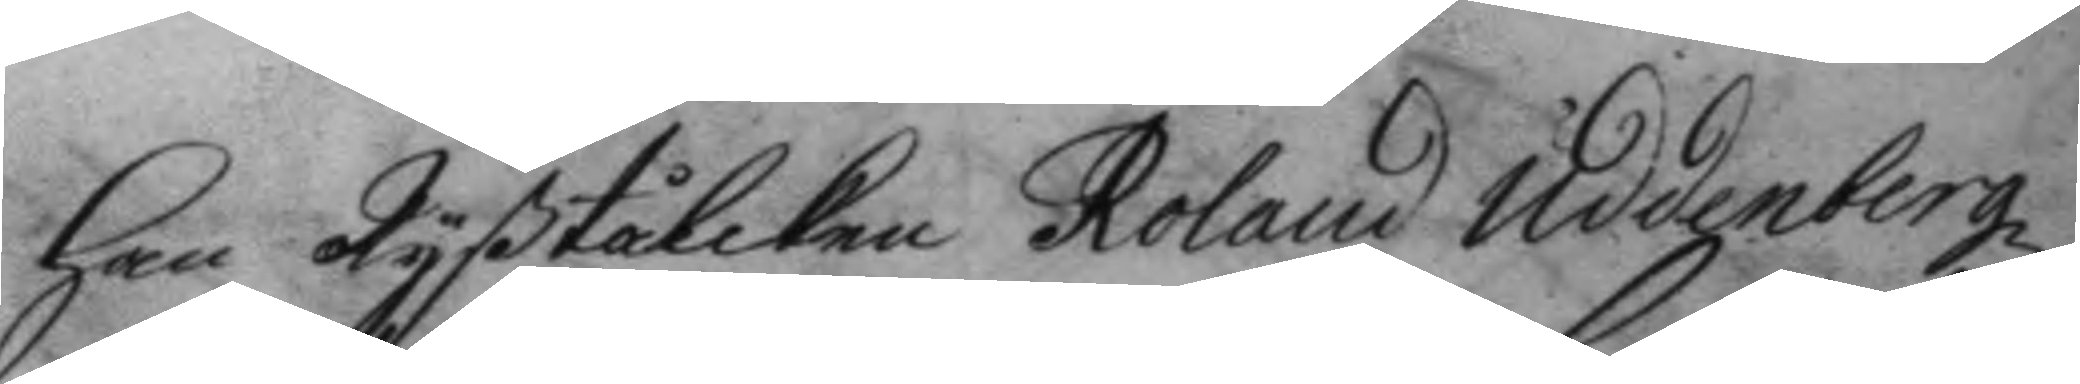han Ryßtålcken Roland Uddenbergz
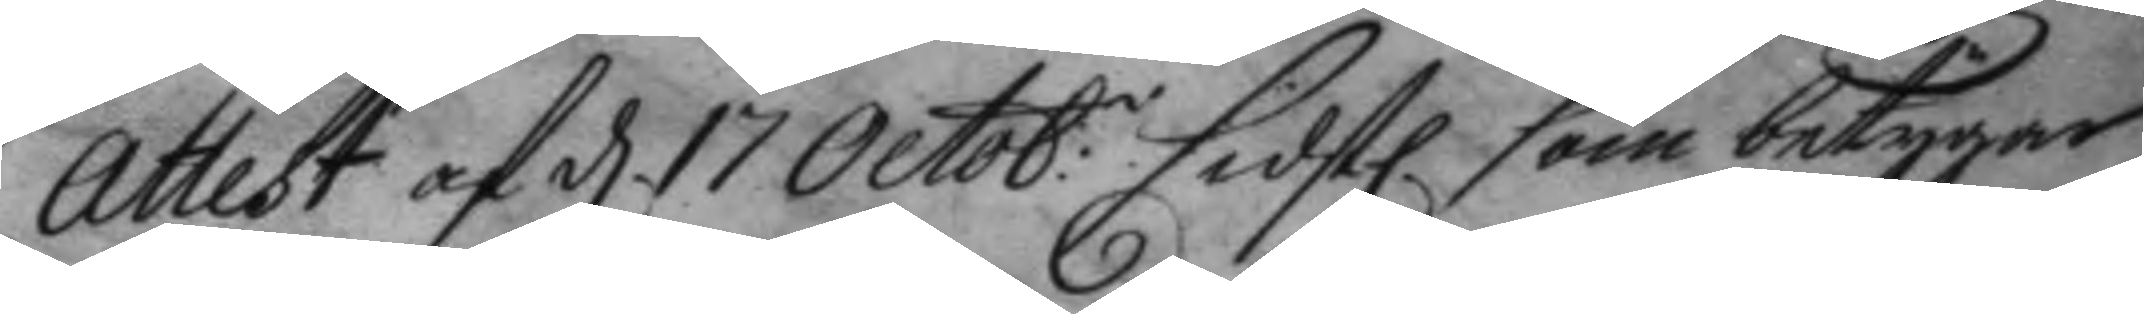Attest af d. 17 Octob.r sidst. som betygar
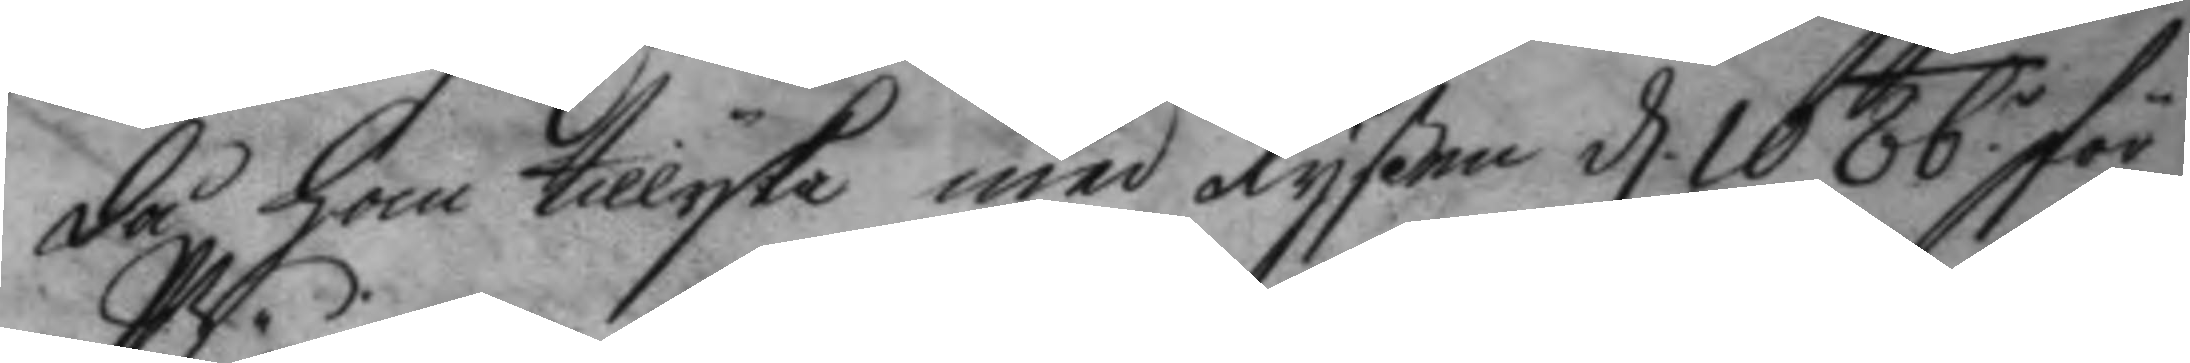då han tillyka med Ryßen d. 10 Obr för
